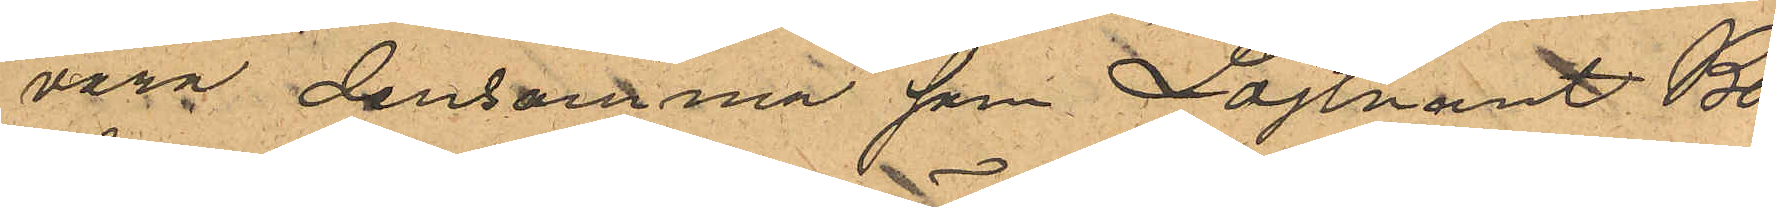vara densamma som Löjtnant Bo¬
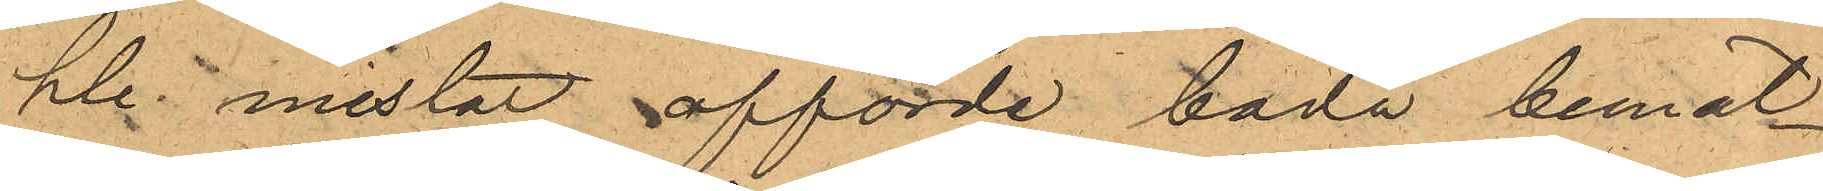hle mistat afförde båda bemäl¬
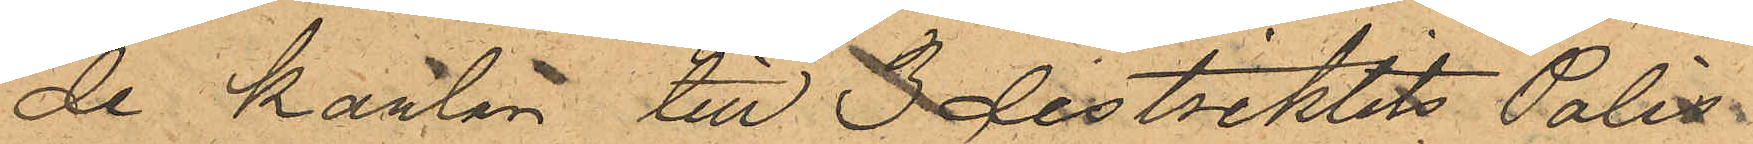de karlar till 3 distriktets Polis¬
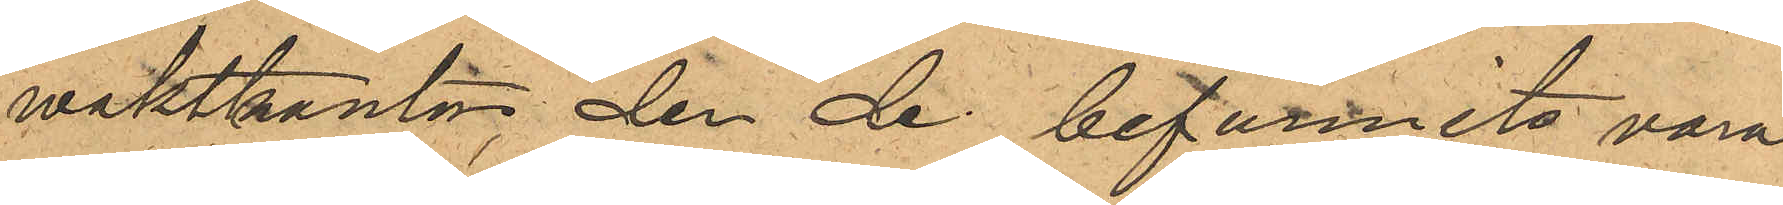waktkontor der de befunnits vara
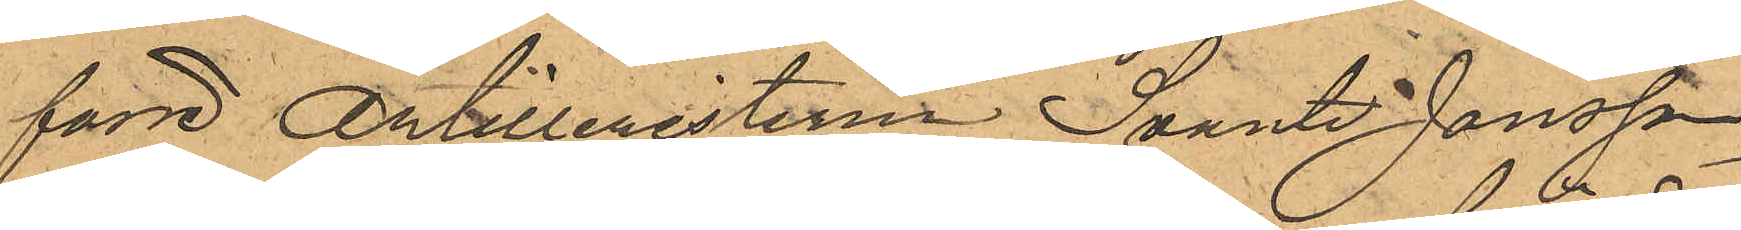förre Artilleristerna Svante Jonsson
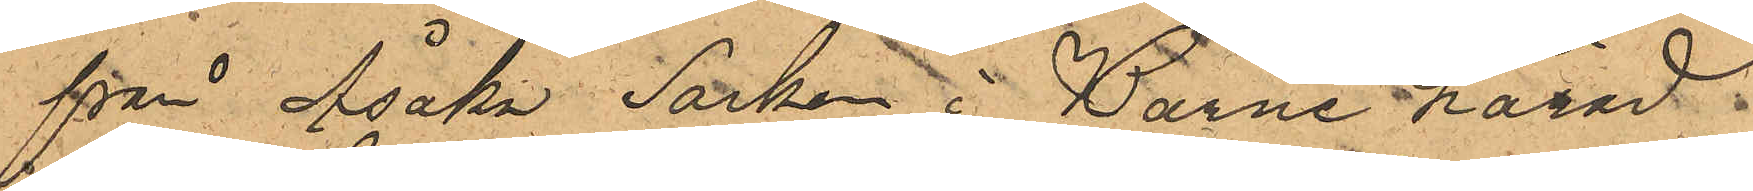från Åsaka Socken i Barne härad
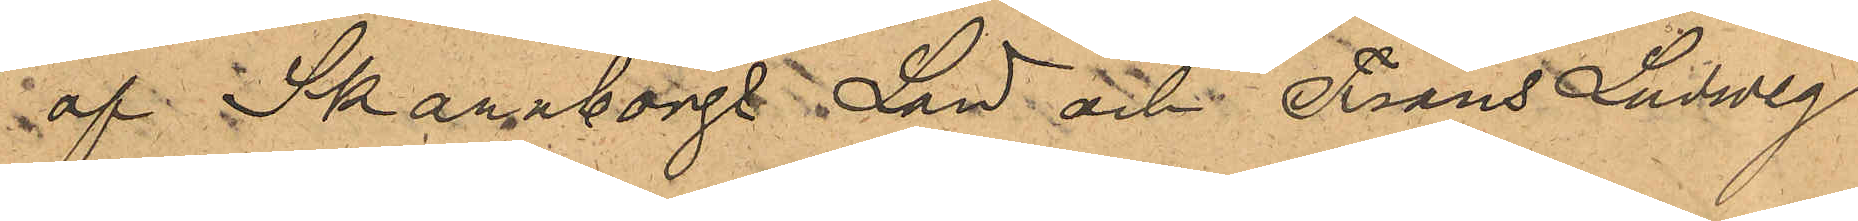af Skaraborgs Län och Frans Ludvig
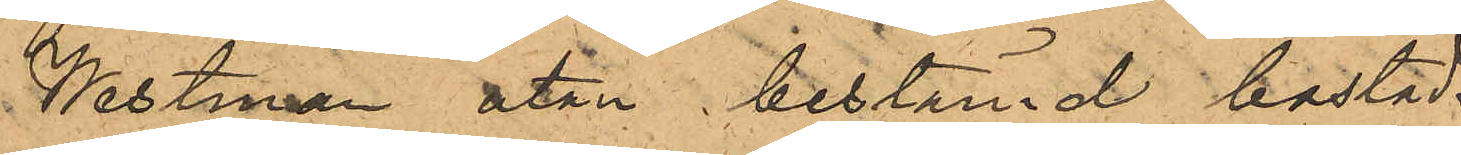Westman utan bestämd bostad.
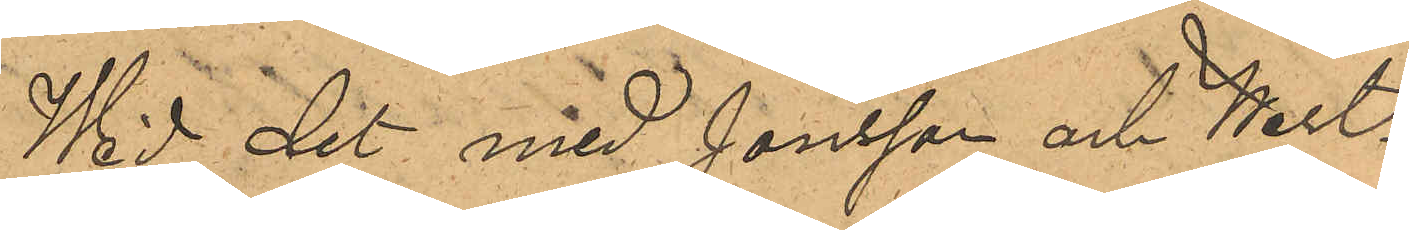Wid det med Jonsson och West¬
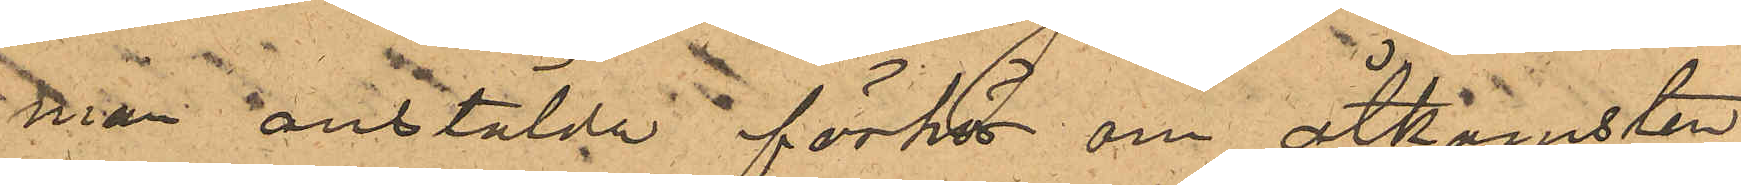man anstälda förhör om åtkomsten
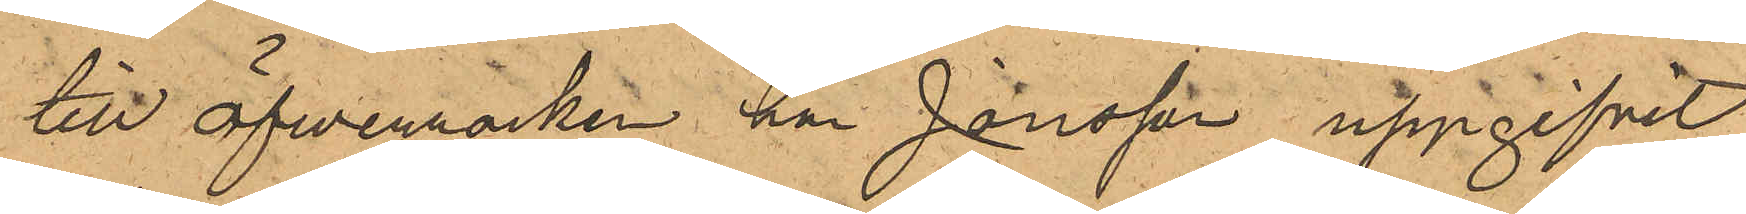till öfverrocken har Jonsson uppgifvit
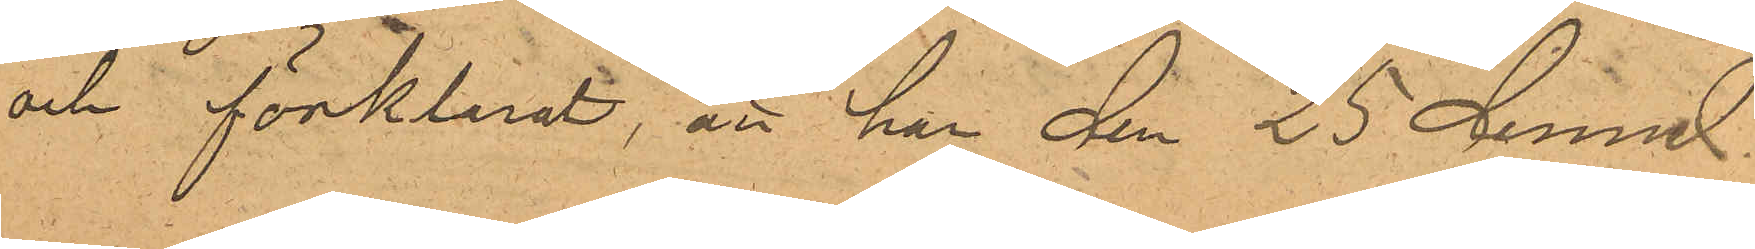och förklarat, att han den 25 dennes
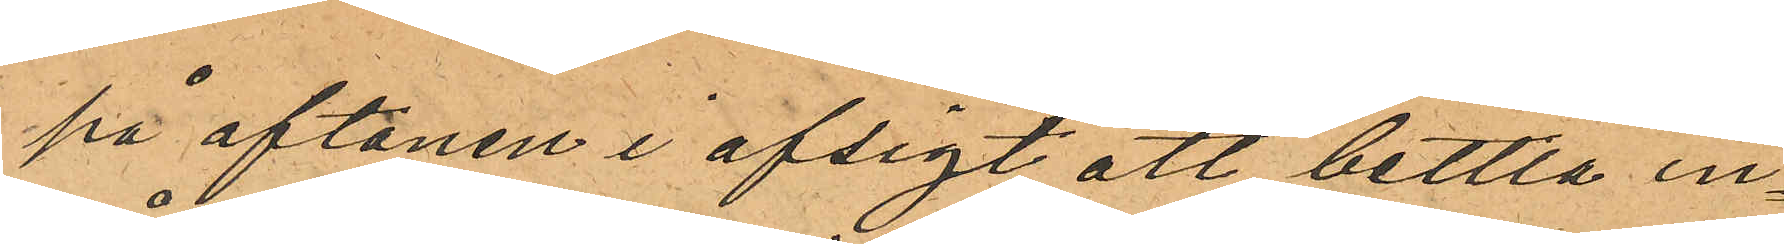på aftonen i afsigt att bettla in¬
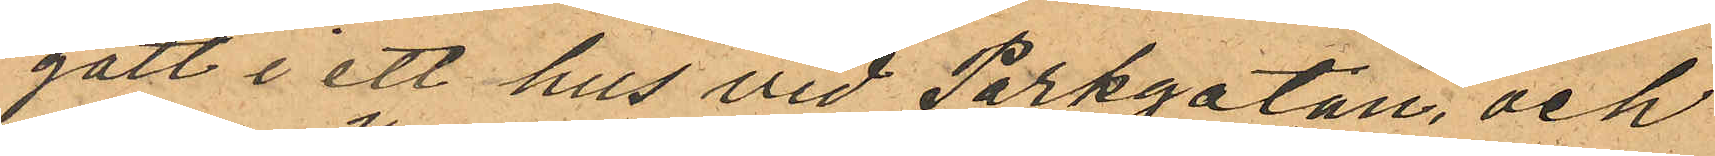gått i ett hus vid Parkgatan, och
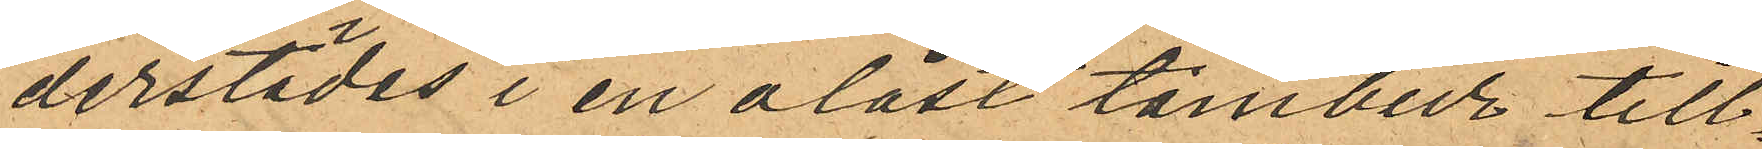derstädes i en olåst tambur till¬
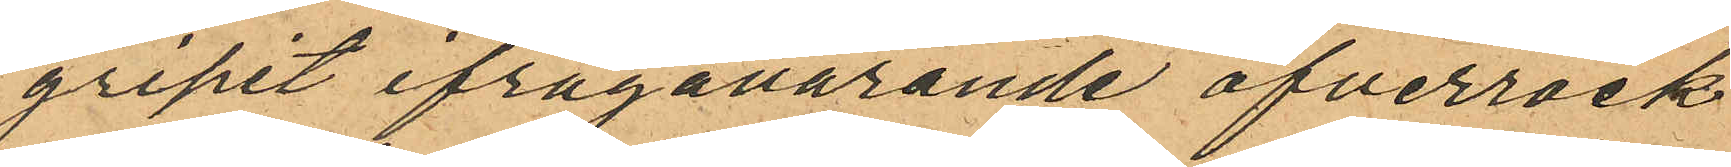gripit ifrågavarande öfverrock
